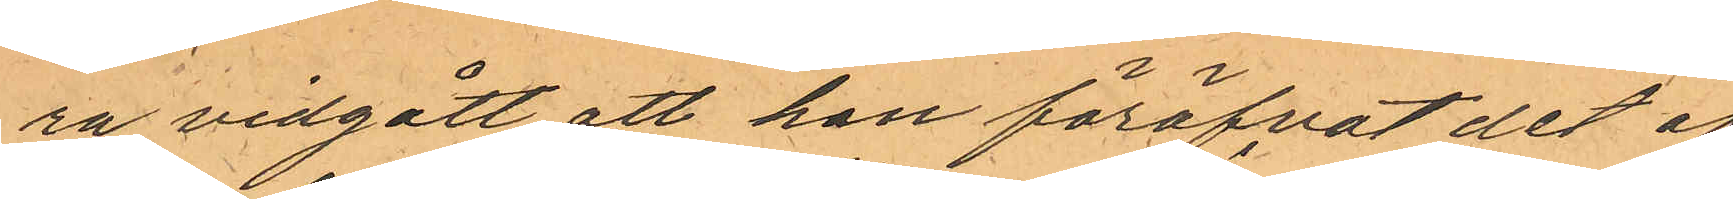ra vidgått att han föröfvat det af
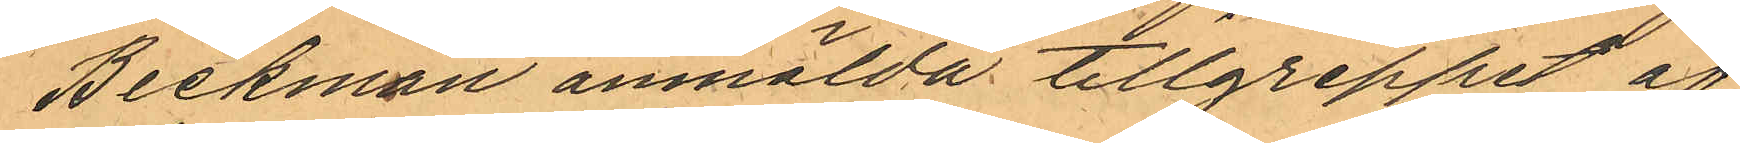Beckman anmälda tillgreppet af
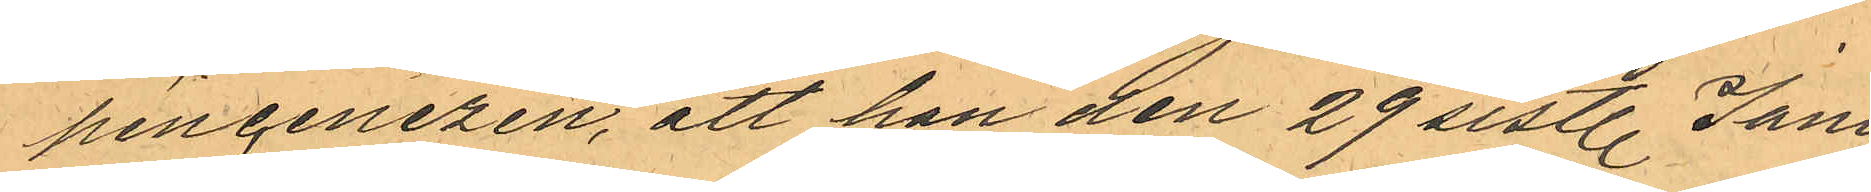pincenezen, att han den 29 sist. Janu¬
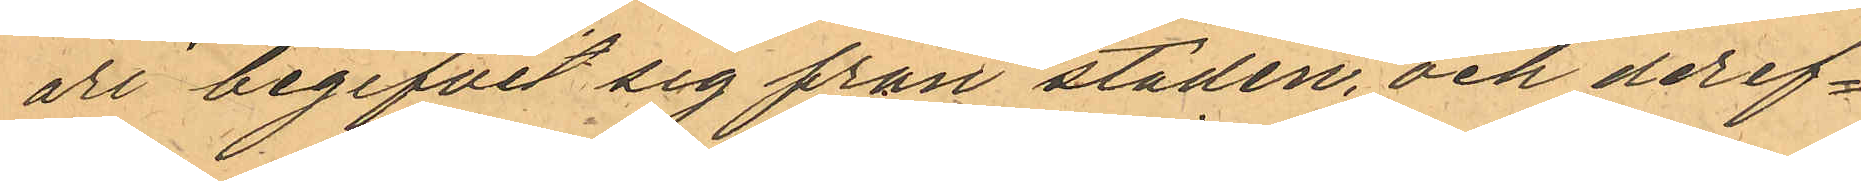ari begifvit sig från staden, och deref¬
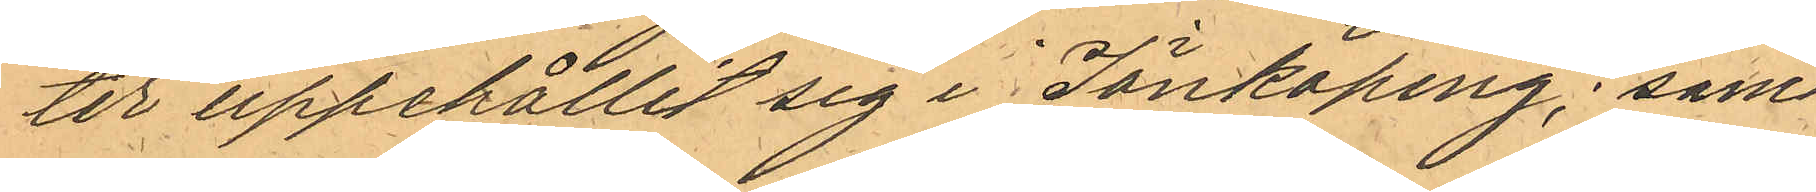ter uppehållit sig i Jönköping, samt
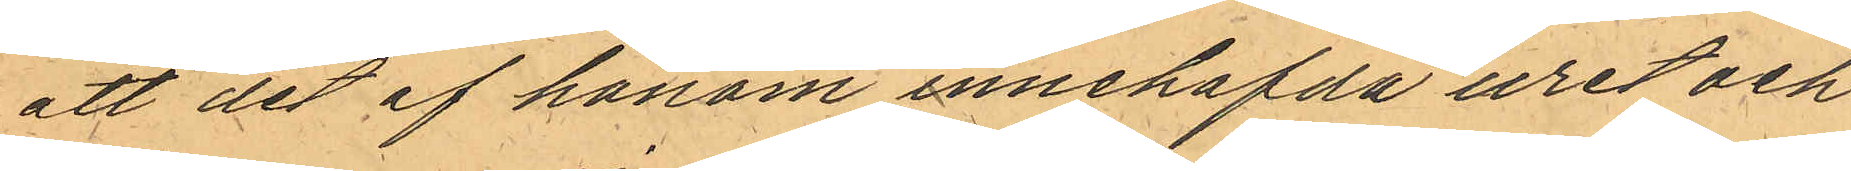att det af honom innehafda uret och
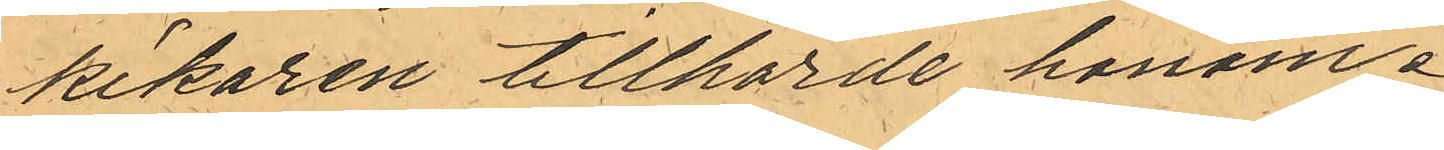kikaren tillhörde honom.
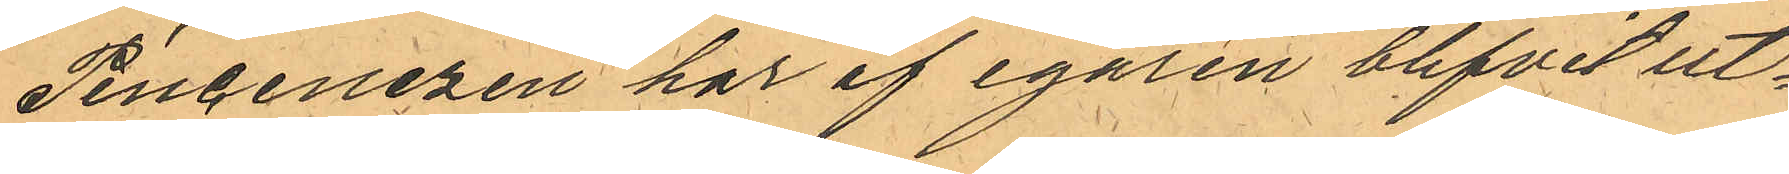Pincenezen har af egaren blifvit ut¬
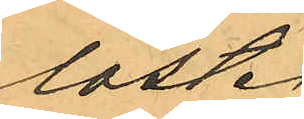löst.
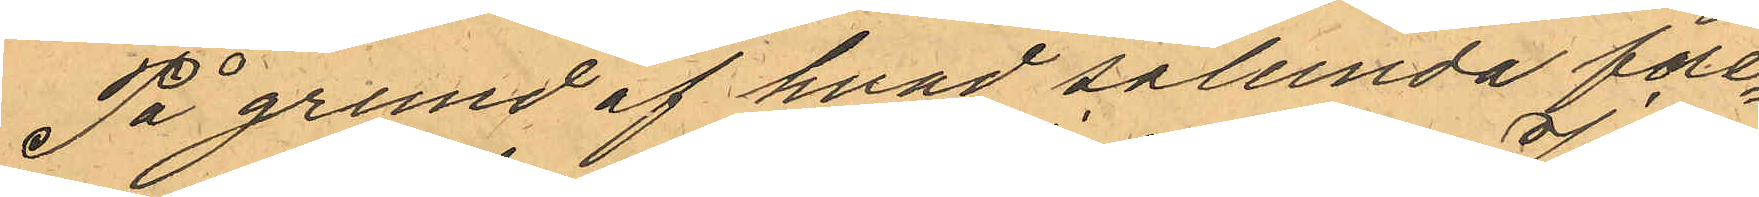På grund af hvad sålunda före¬
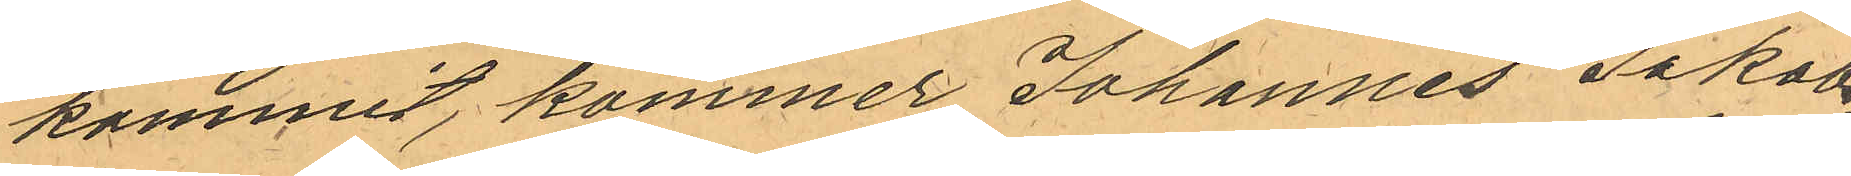kommit, kommer Johannes Jakobs¬
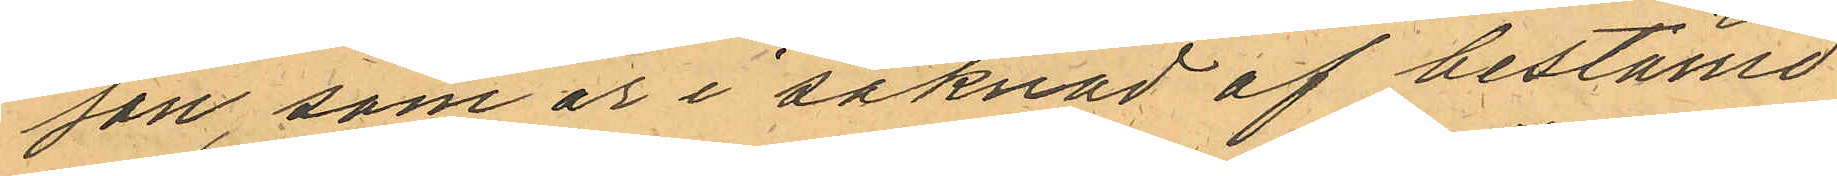son, som är i saknad af bestämd
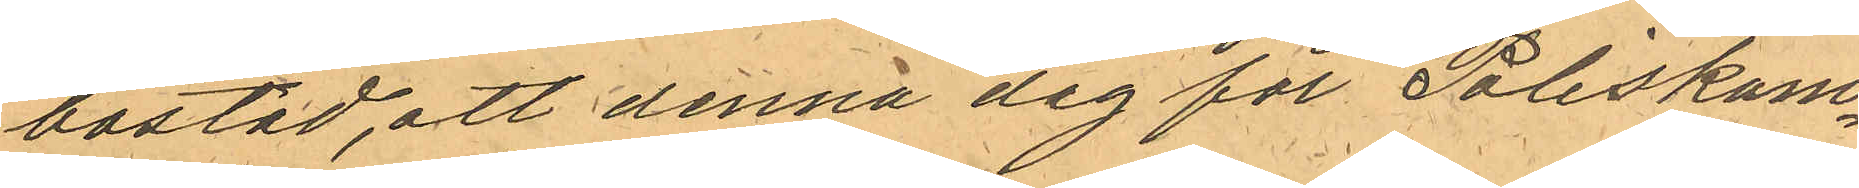bostad, att denna dag för Poliskam¬
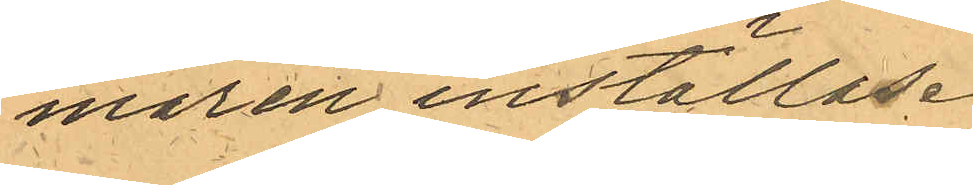maren inställas.
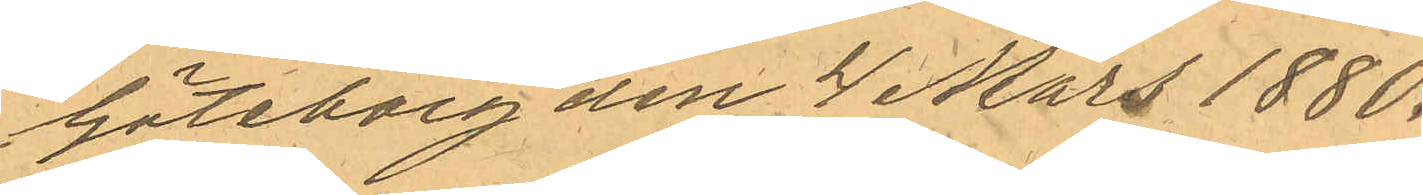Göteborg den 4 Mars 1880.
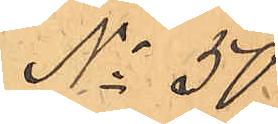No 50
